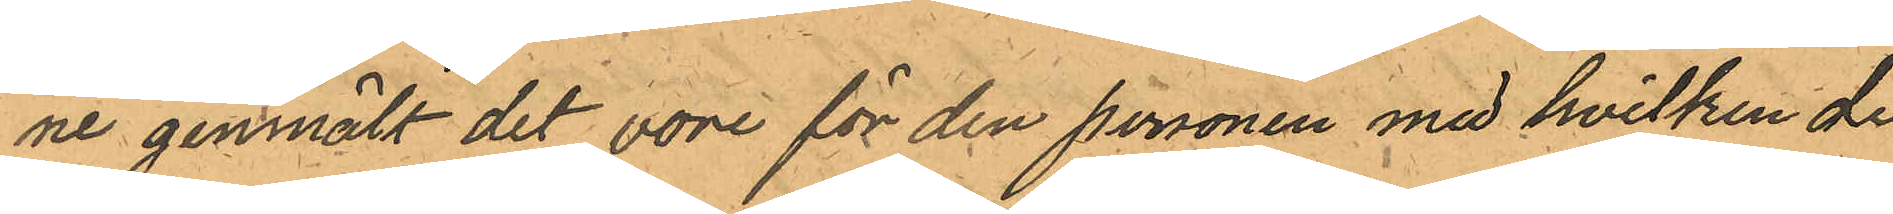ne genmält det vore för den personen med hvilken de
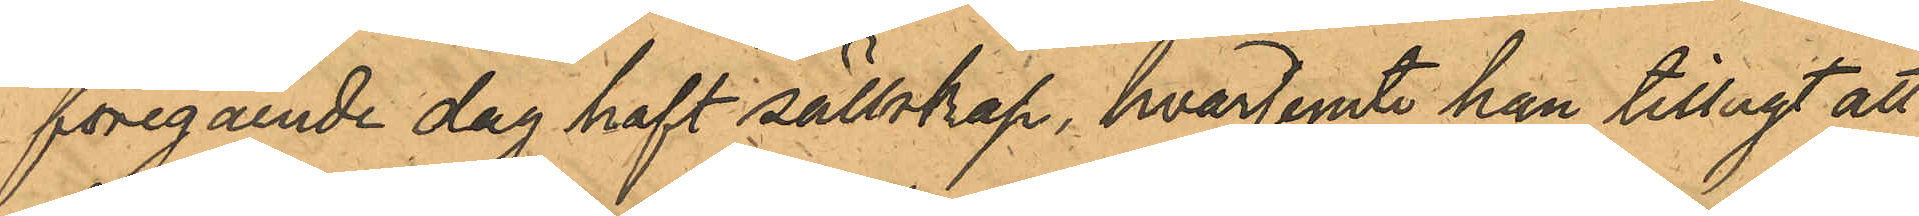föregaende dag haft sällskap, hvarjemte han tillagt att
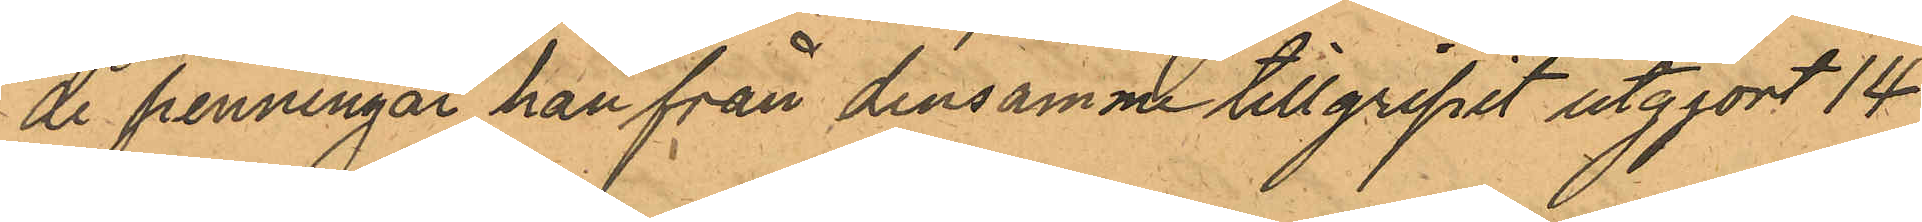de penningar han från densamme tillgripit utgjort 14
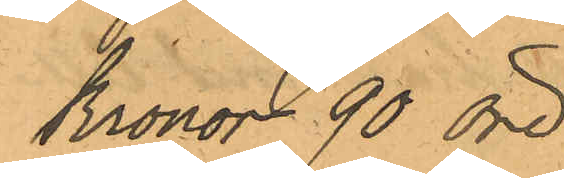Kronor 90 öre
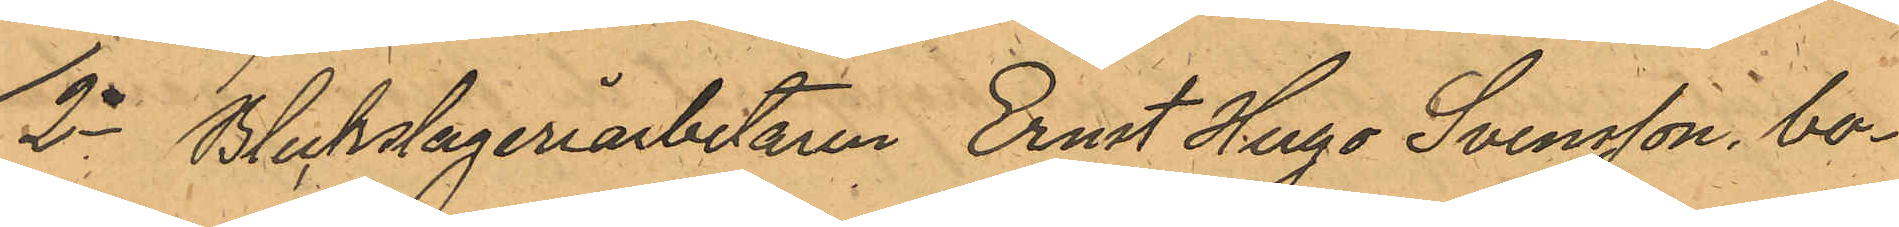2o Bleckslageriarbetaren Ernst Hugo Svensson, bo¬
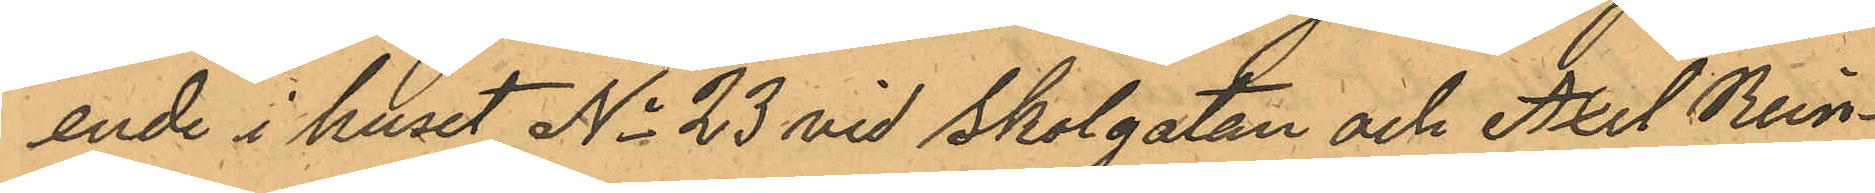ende i huset No 23 vid Skolgatan och Karl Rein¬
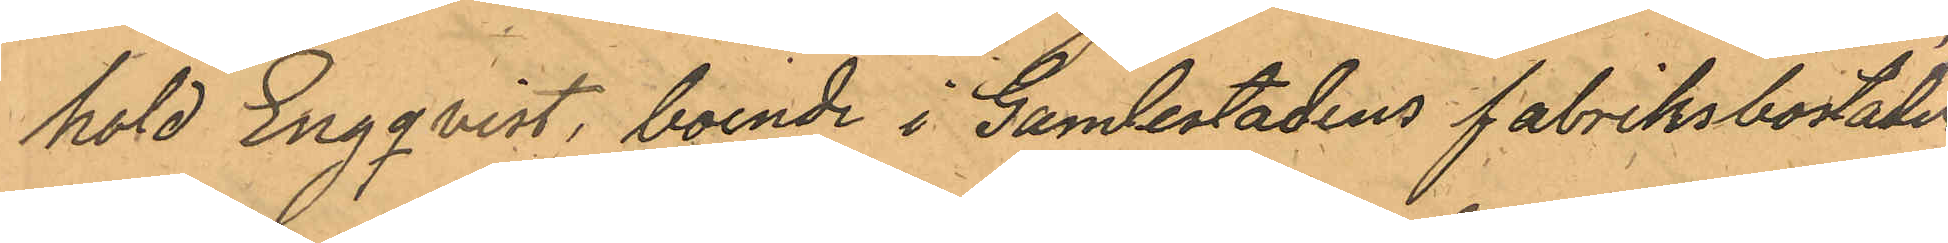hola Engqvist, boende i Gamlestadens fabriksbostäder
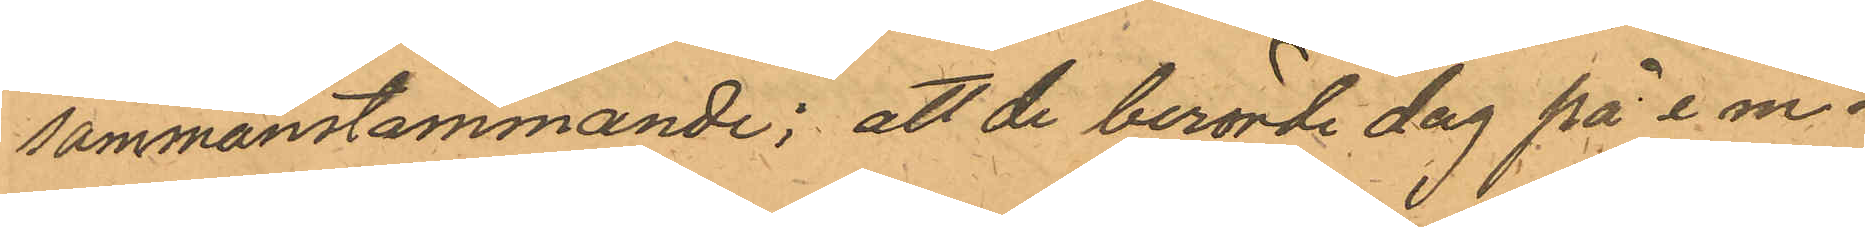sammanstämmande; att de berörde dag på e m.
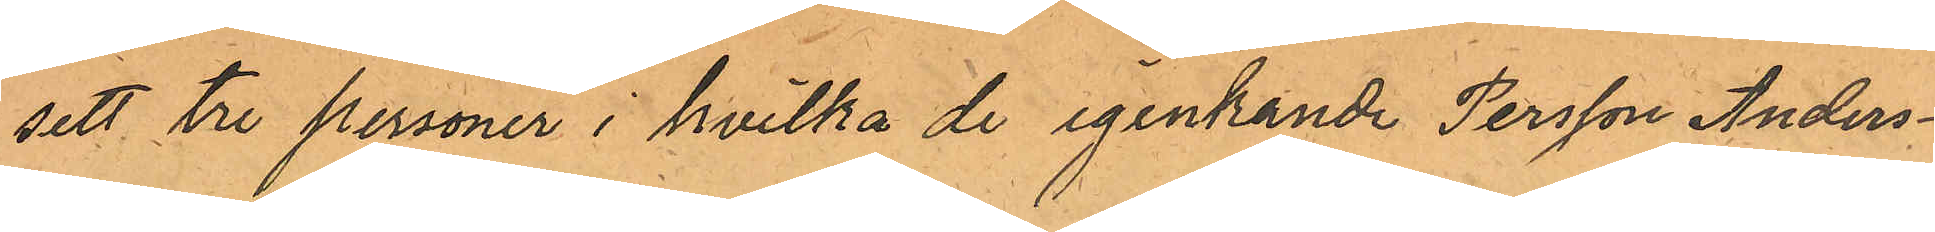sett tre personer i hvilka de igenkande Persson Anders¬
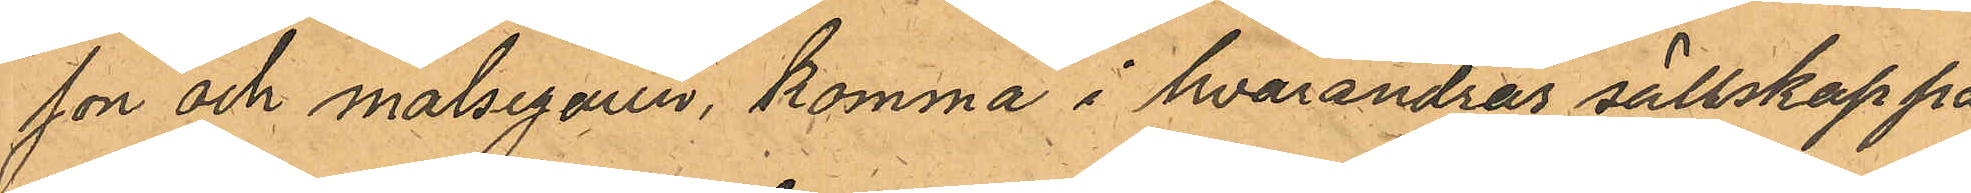son och målsegaren, komma i hvarandras sällskap på
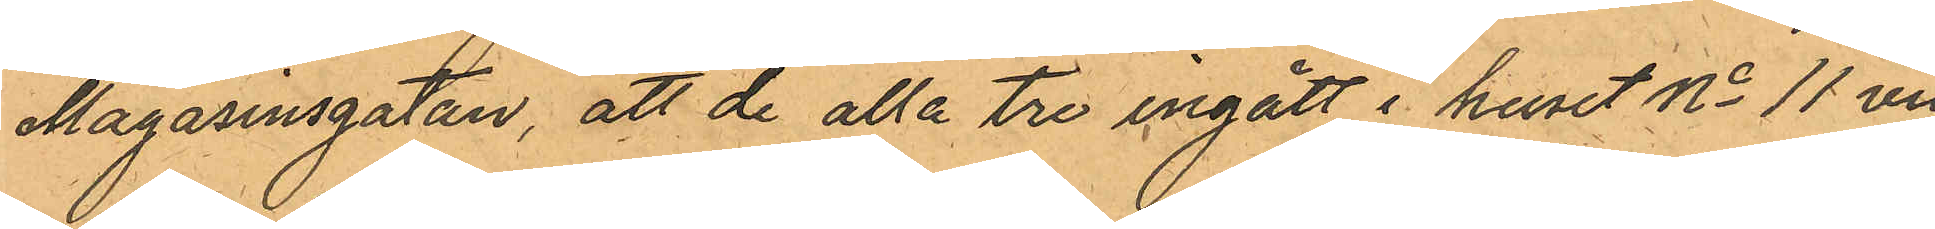Magasinsgatan, att de alla tre ingått i huset No 11 vid
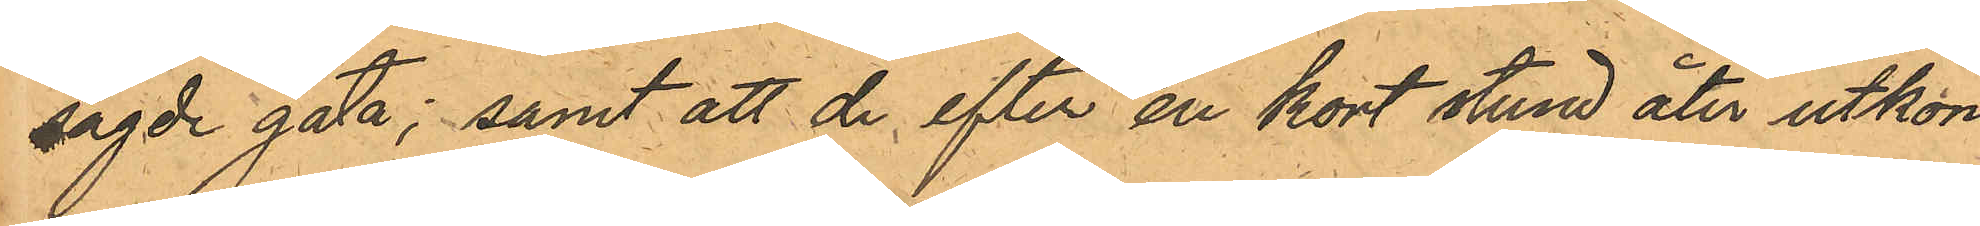sagde gata; samt att de efter en kort stund åter utkom
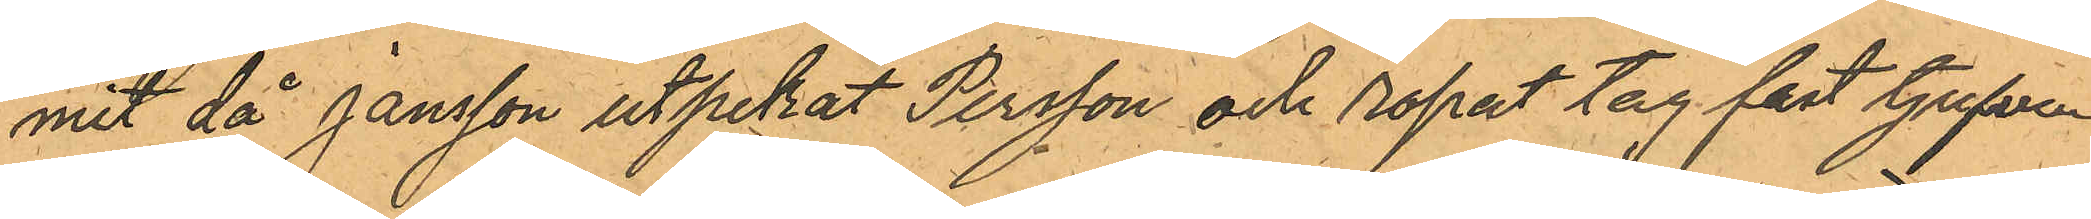mit då Jansson utpekat Persson och ropat tag fast tjufven.
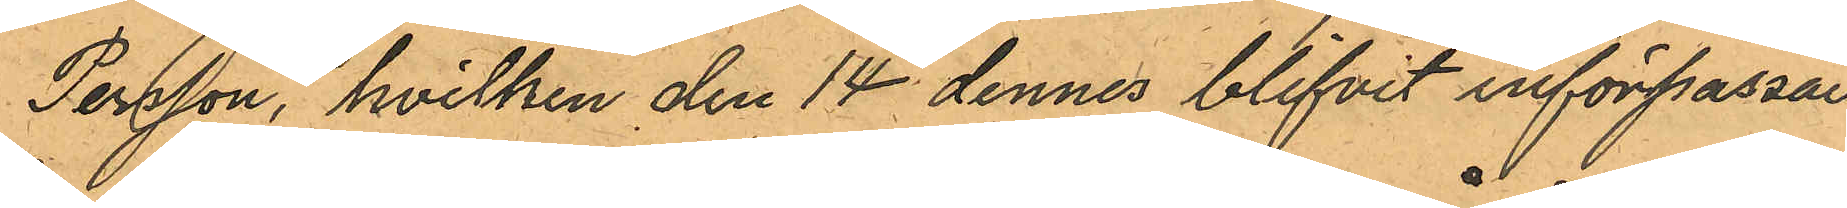Persson, hvilken den 14 dennes blifvit införpassad
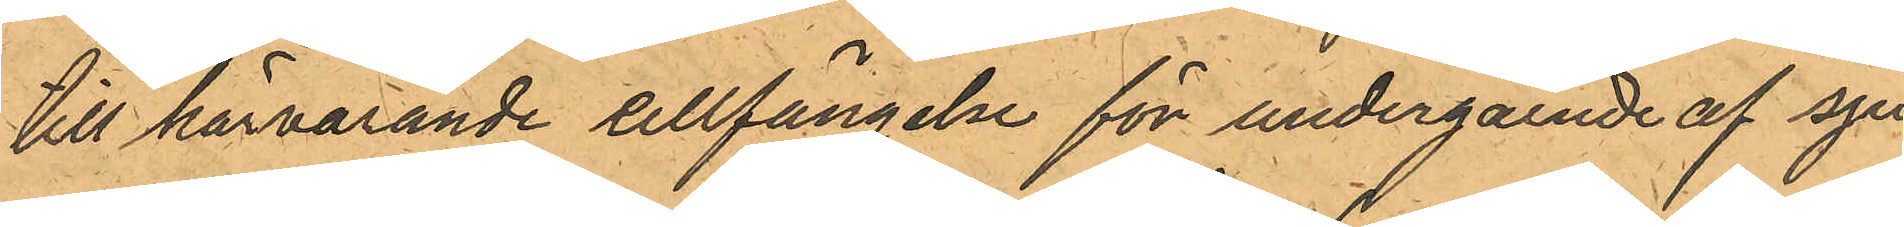till härvarande cellfängelse för undergående af sju¬
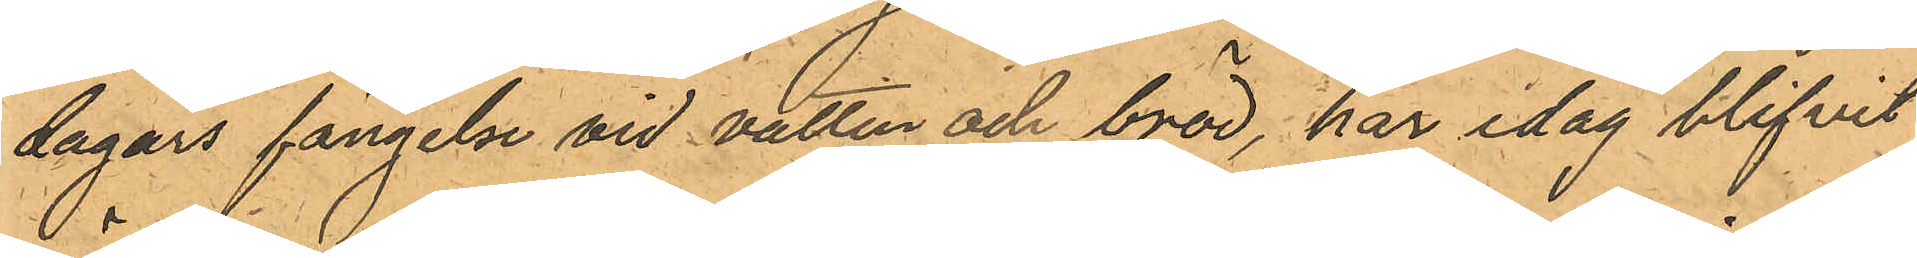dagars fängelse vid vatten och bröd, har idag blifvit
